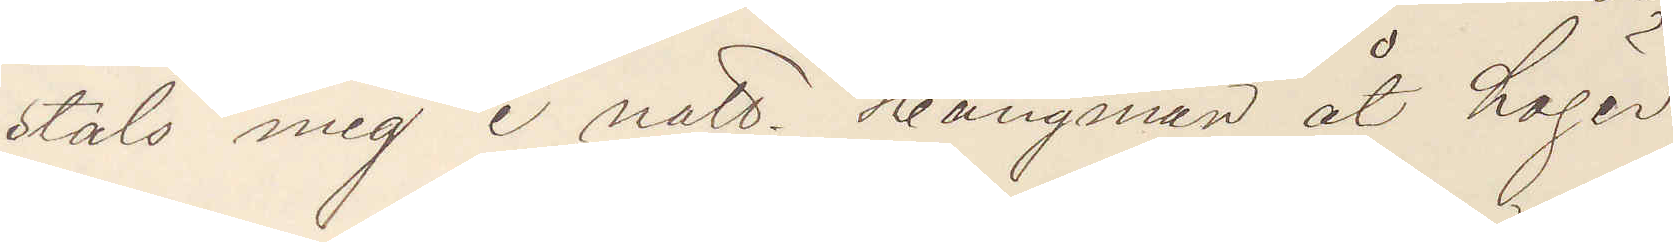stals mig i natt. Hängman åt höger
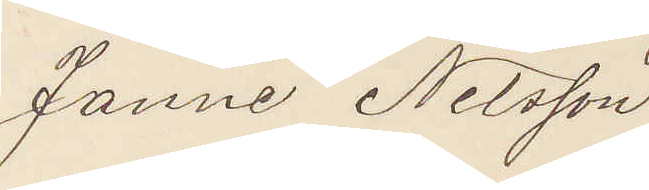Janne Nilsson
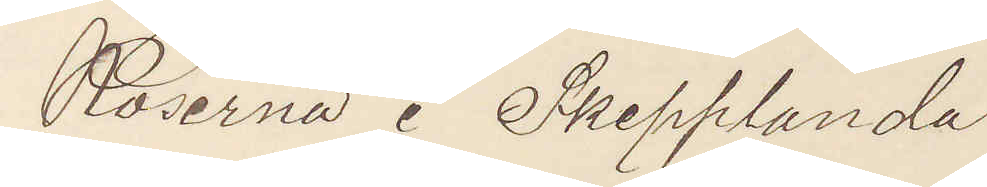Röserna i Skepplanda
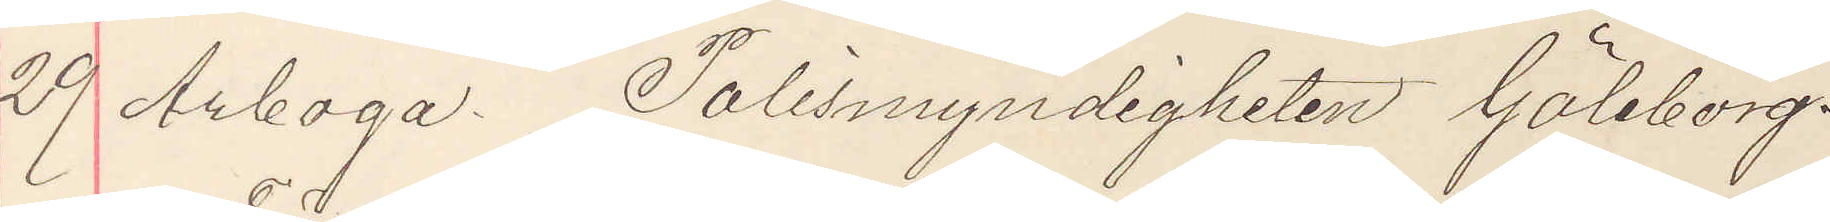29 Arboga. Polismyndigheten Göteborg.
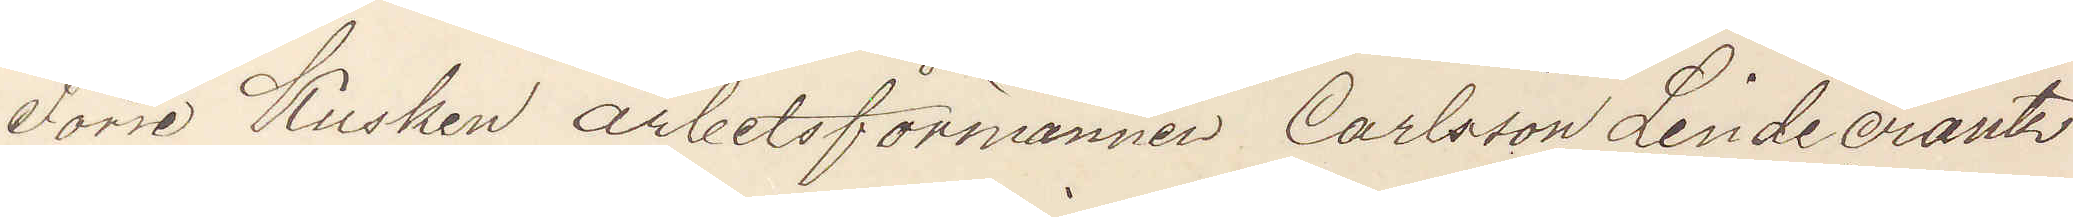Förre Kusken arbetsförmannen Carlsson Lindecrantz
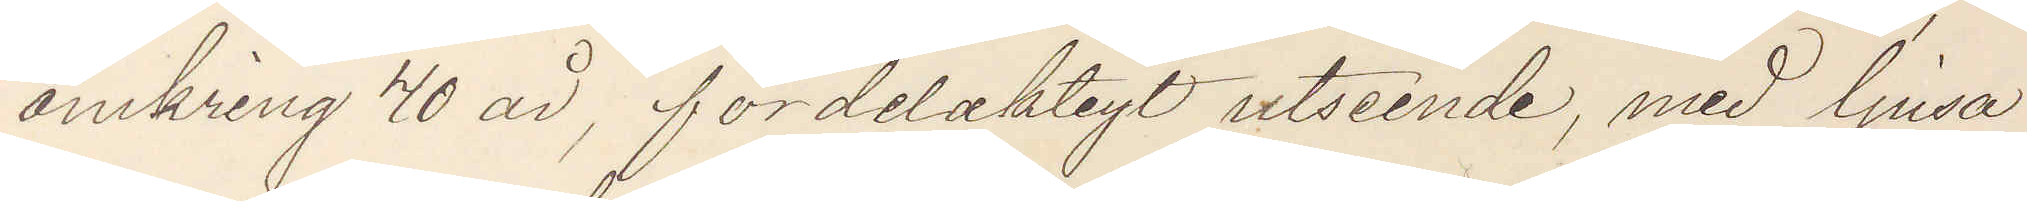omkring 40 år, fördelaktigt utseende, med ljusa
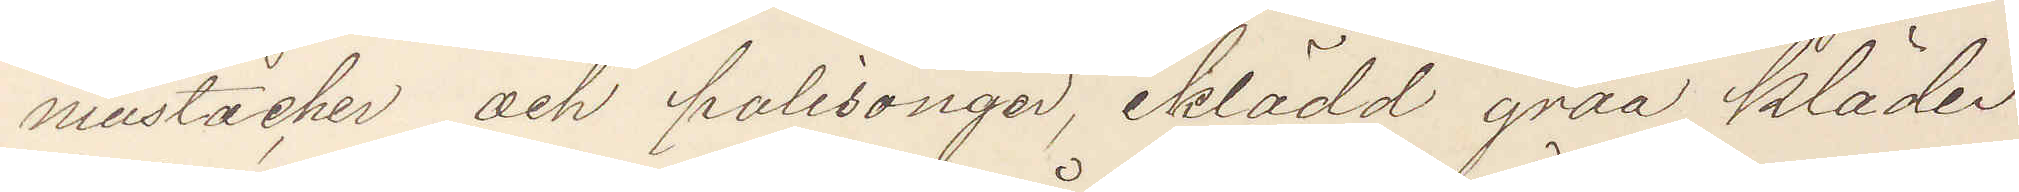mustacher och polisonger, iklädd gråa kläder
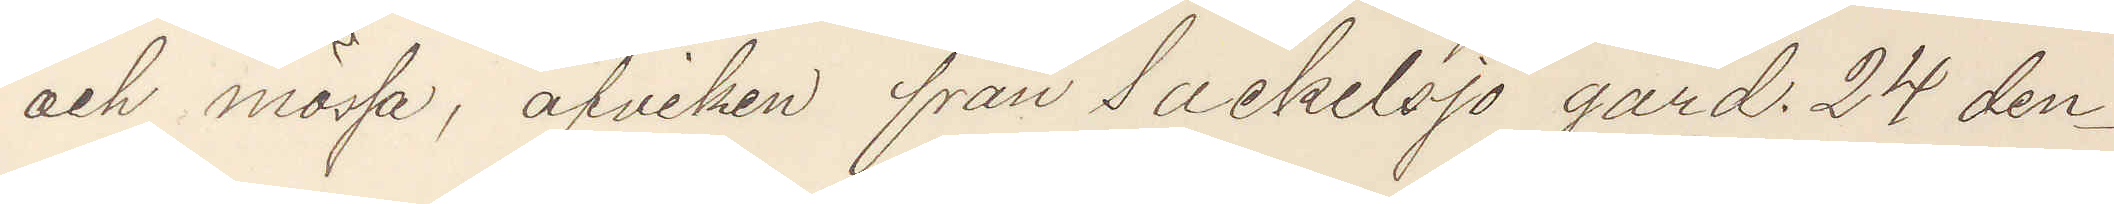och mössa, afviken från Sackelsjö gård. 24 den¬
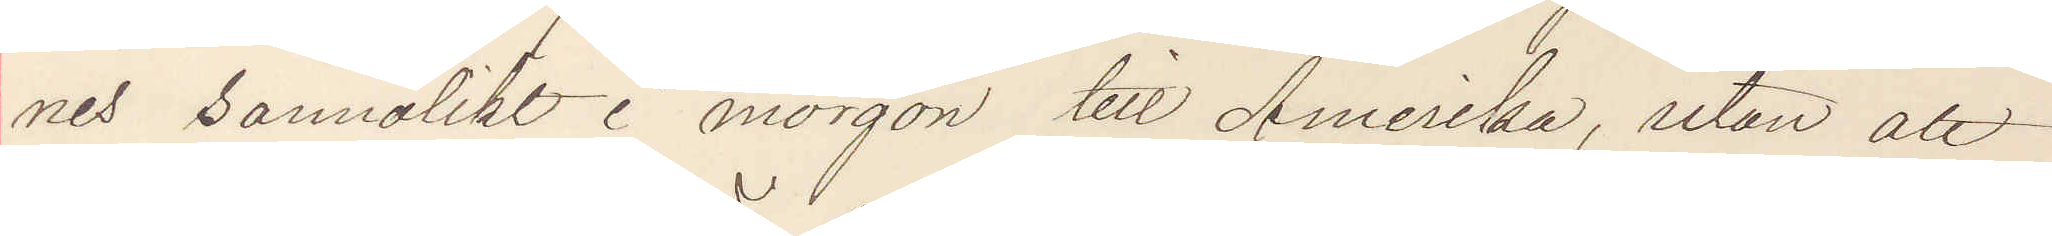nes sannolikt i morgon till Amerika, utan att
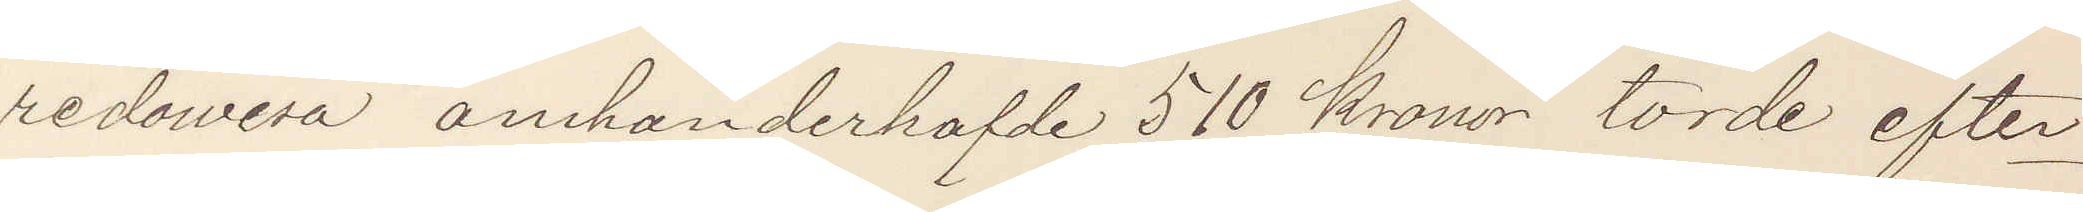redovisa omhänderhafde 510 kronor torde efter¬
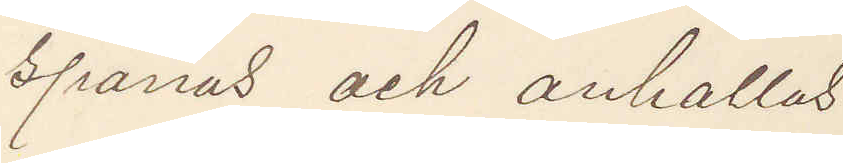spanas och anhållas.
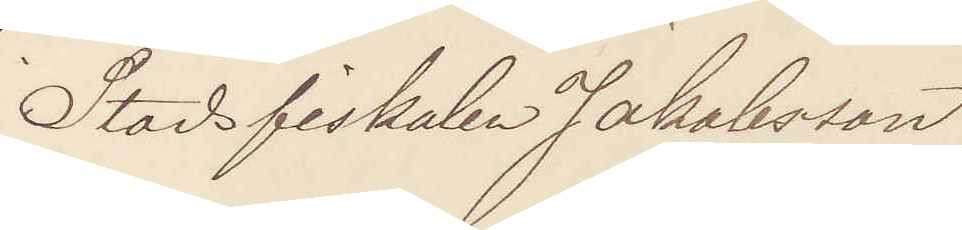Stadsfiskalen Jakobsson
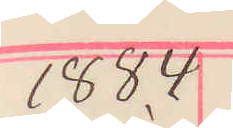1884
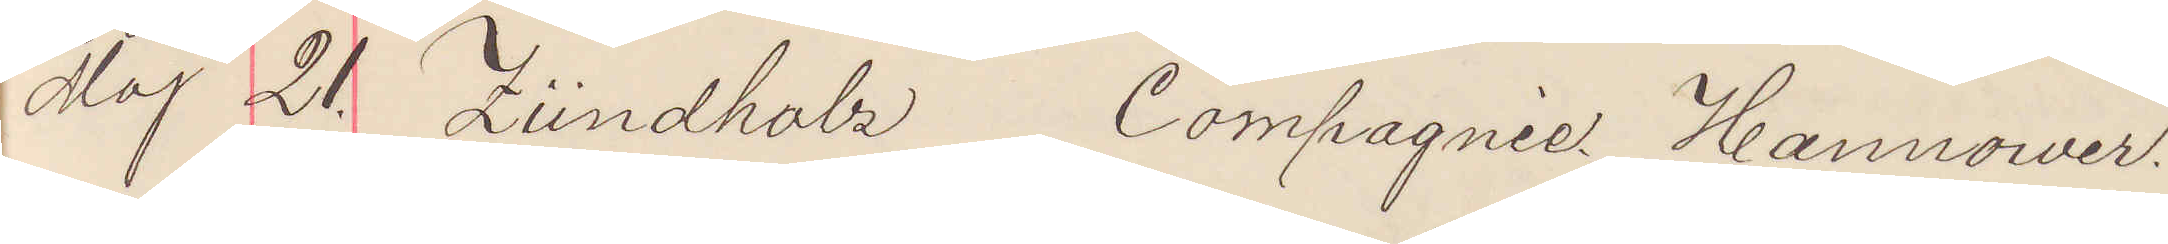Maj 21. Zündhalz Compagnie Hannower.
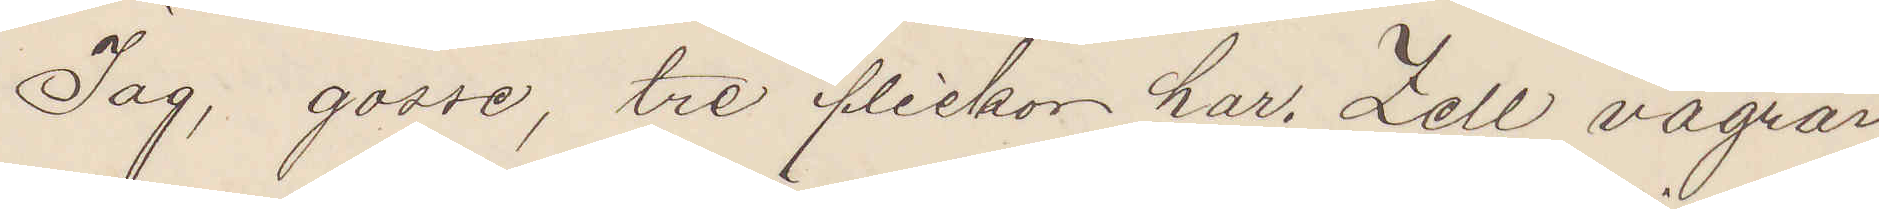Jag, gosse, tre flickor har. Zell vägrar
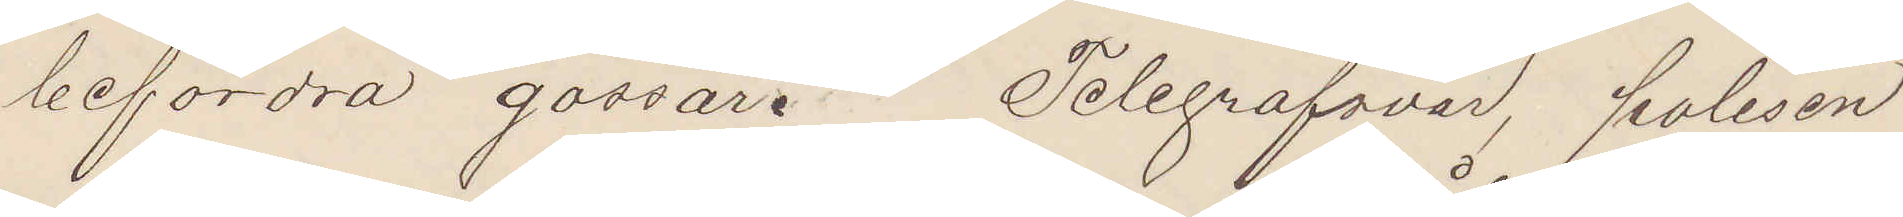befordra gossar. Telegrafsvar polisen
